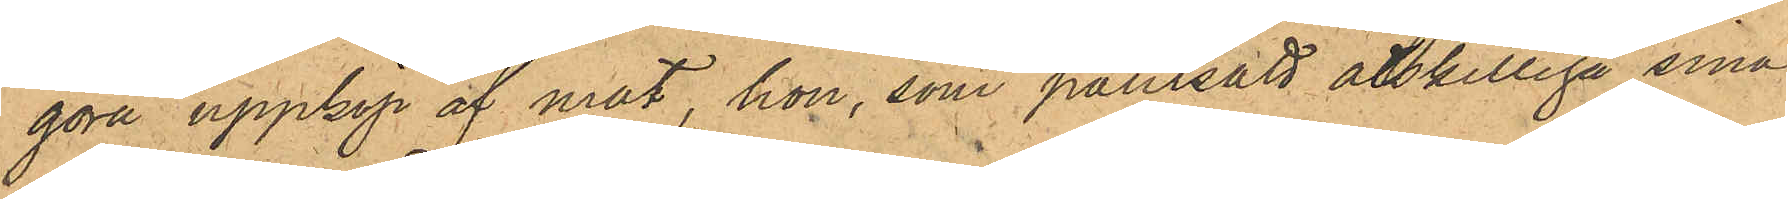göra uppköp af mat, hon, som pantsatt åtskilliga sina
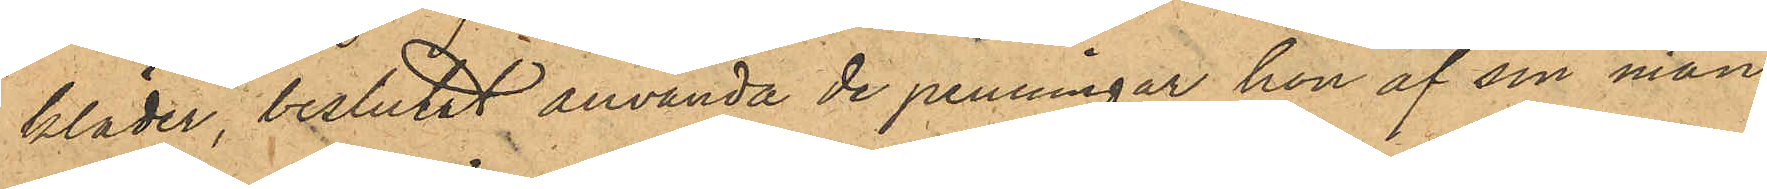kläder, beslutat använda de penningar hon af sin man
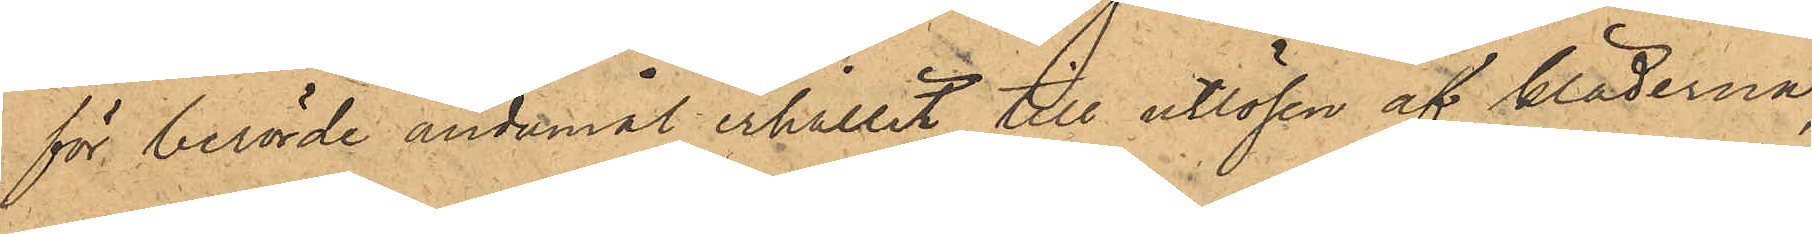för berörde ändamål erhållit till utlösen af kläderna,
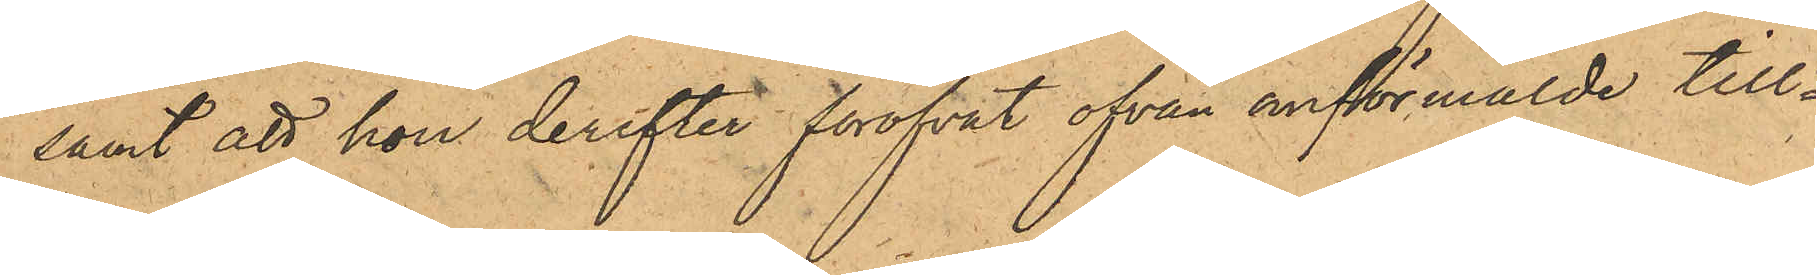samt att hon derefter föröfvat ofvan omförmälde till¬
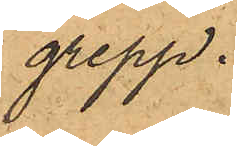grepp.
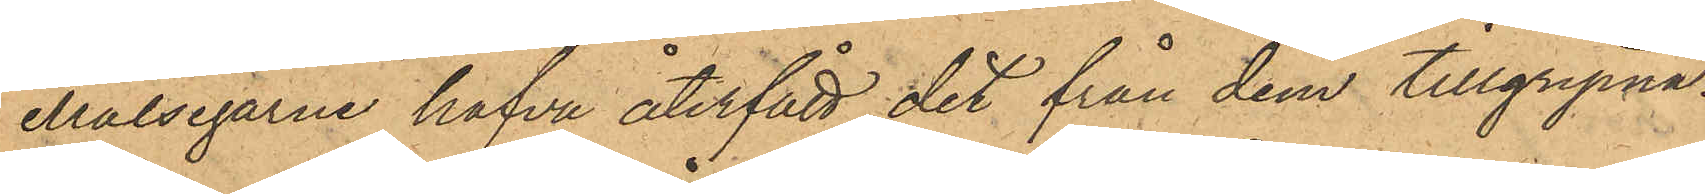Målsegarne hafva återfått det från dem tillgripna.
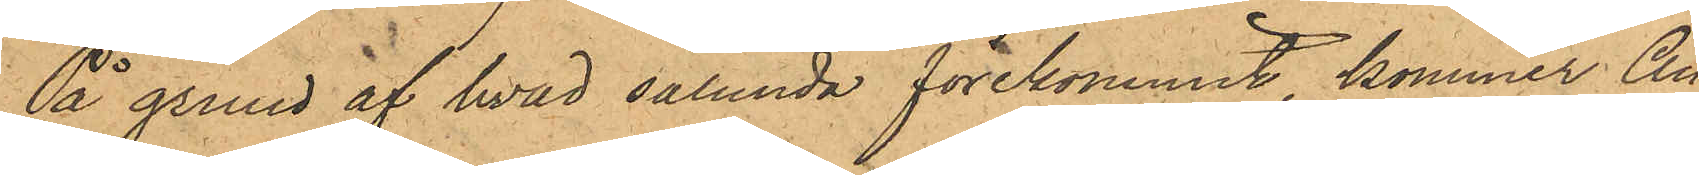På grund af hvad sålunda förekommit, kommer An¬
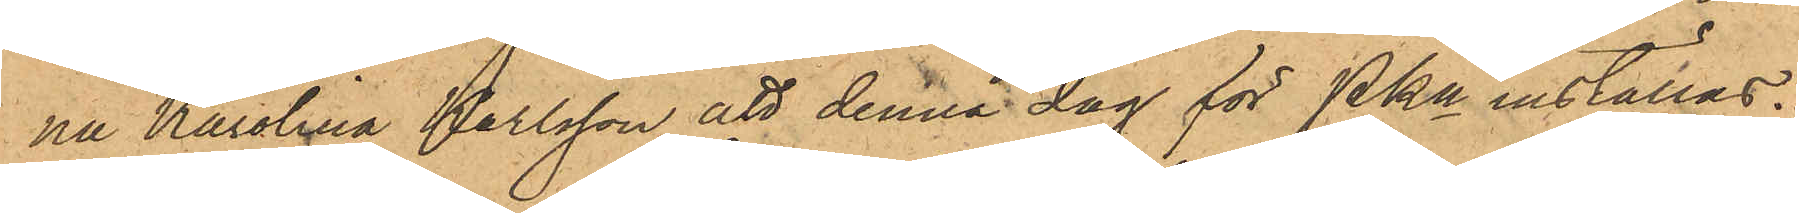na Karolina Karlsson att denna dag för PKn inställas.
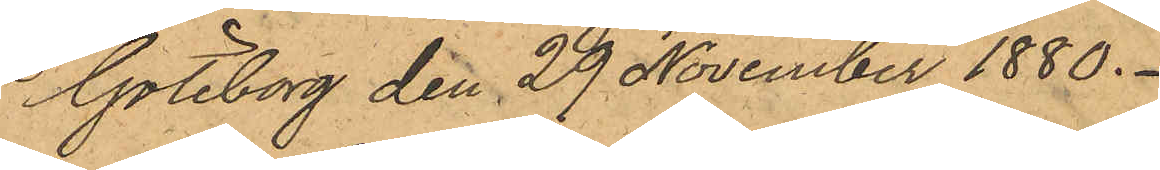Göteborg den 29 November 1880.
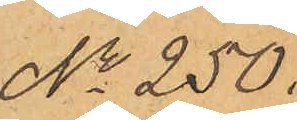No 250.
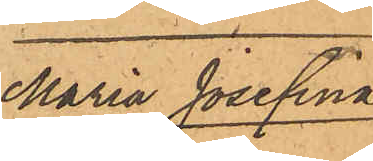Maria Josefina
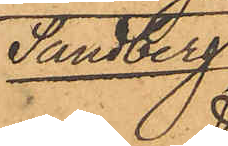Sandberg.
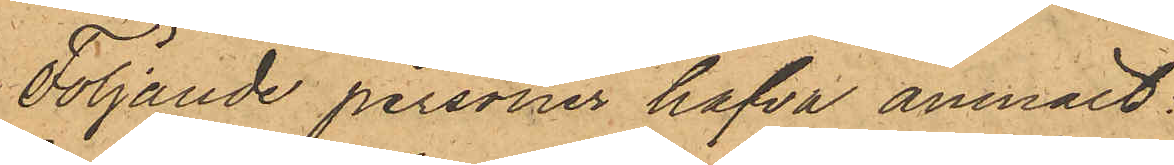Följande personer hafva anmält:
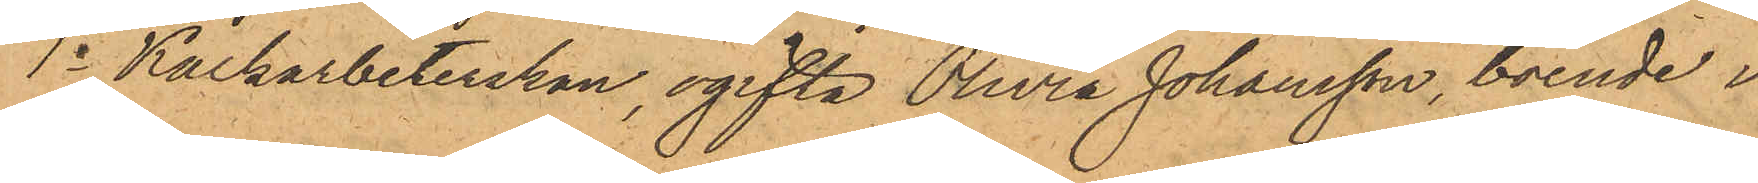1o Kalkarbeterskan, ogifta Olivia Johansson, boende i
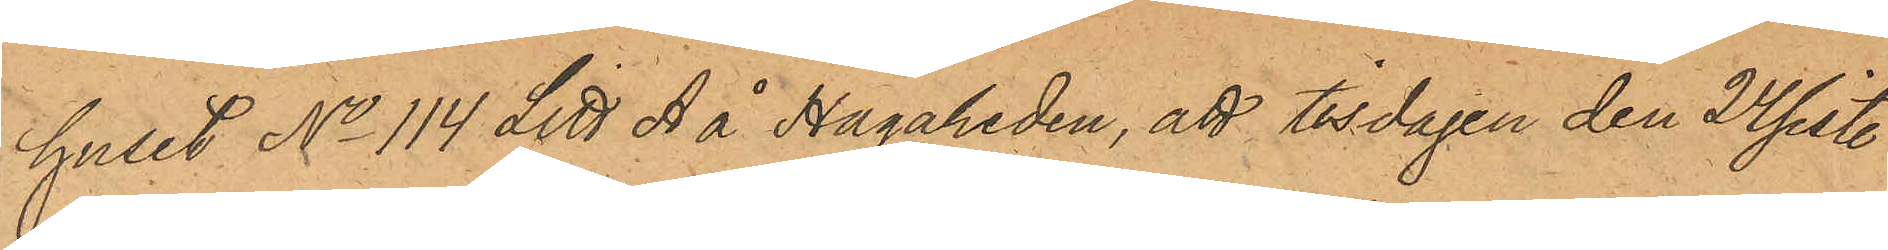huset No 114 Litt A å Hagaheden, att tisdagen den 24 sist.
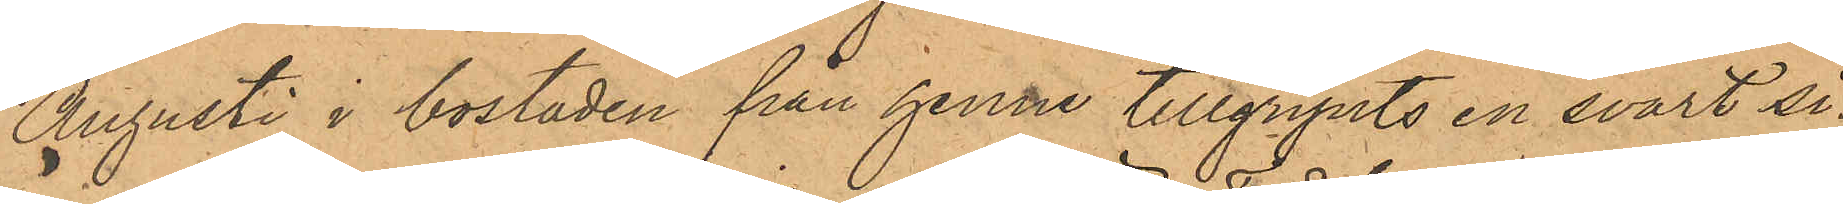Augusti i bostaden från henne tillgripits en svart si¬
